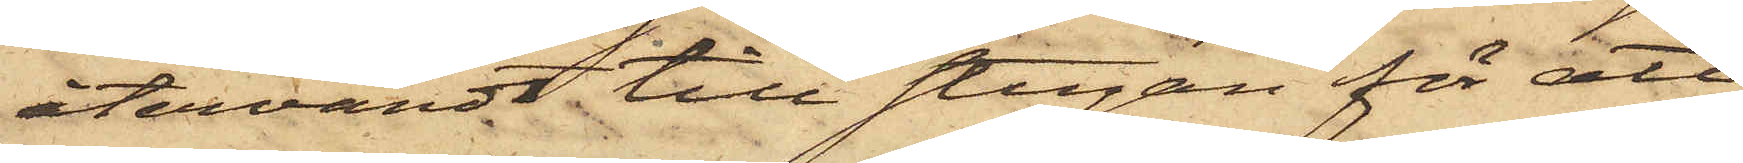återvändt till stugan för att
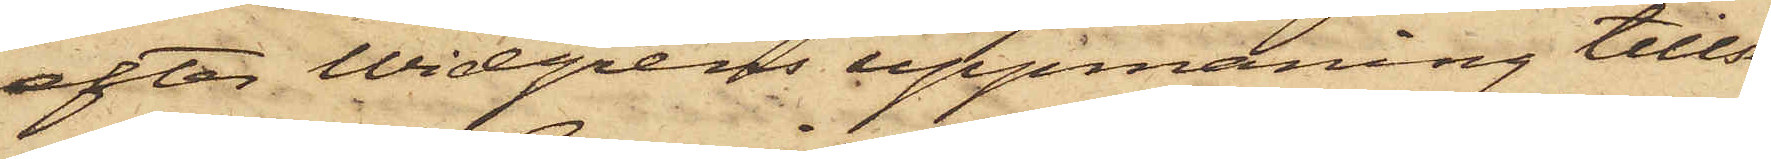efter Widgrens uppmaning tillse
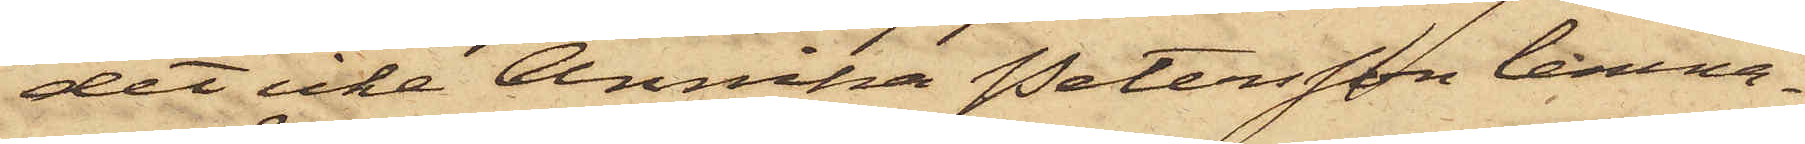det icke Annika Petersson lemna¬
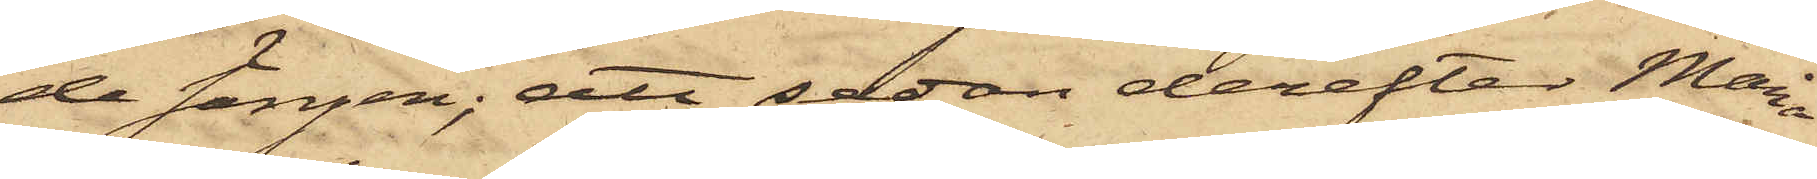de sängen; att sedan derefter Maria
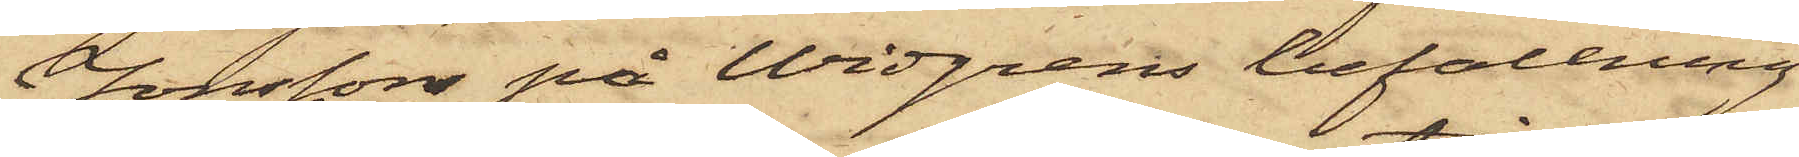Jonssons på Widgrens befallning
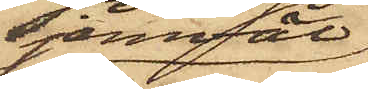jemväl
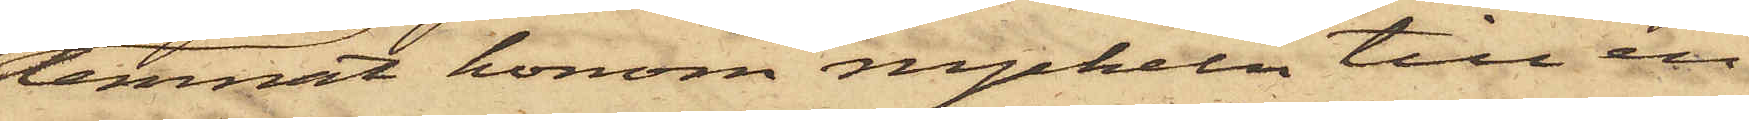lemnit honom nyckeln till en
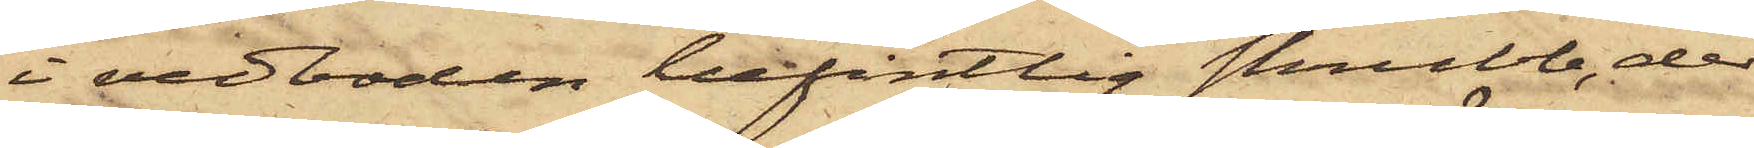i vedboden befintlig skrubb, der
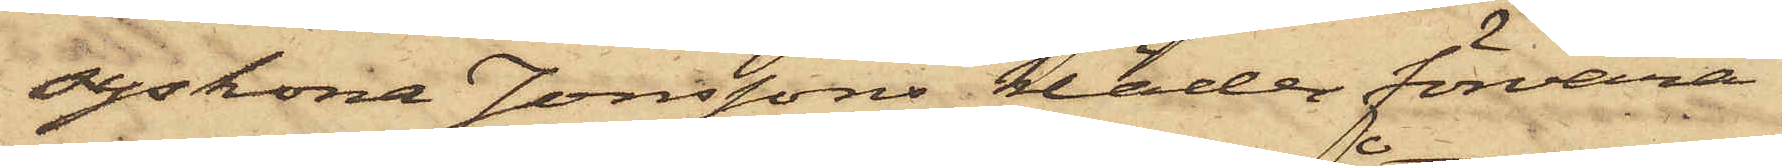syskona Jonssons kläder förvara¬
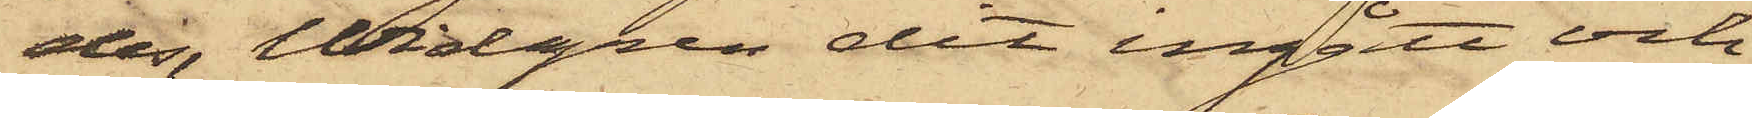des, Widgren dit ingått och
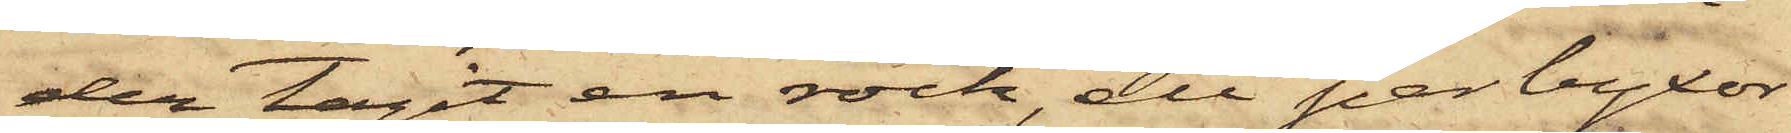der tagit en rock, ett par byxor
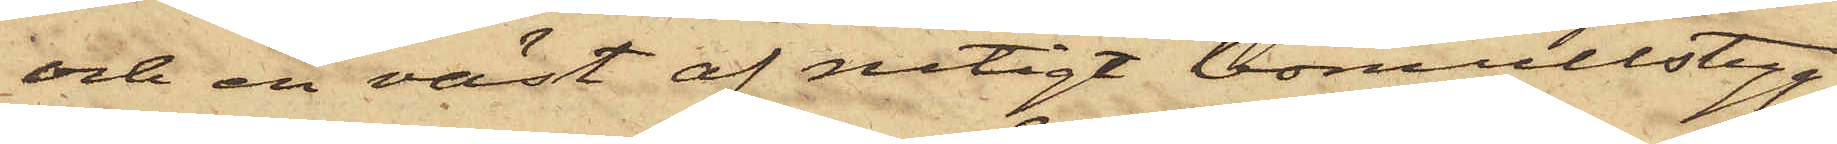och en väst af rutigt bomullstyg,
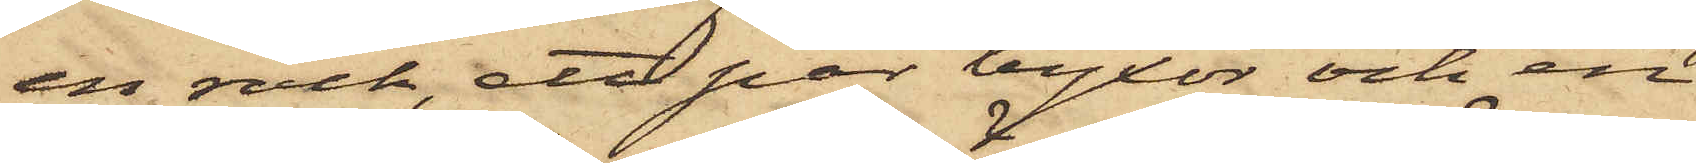en rock, ett par byxor och en
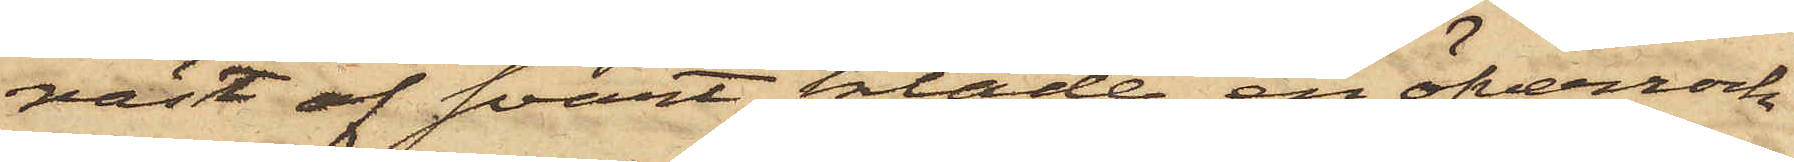väst af svart kläde, en öfverrock
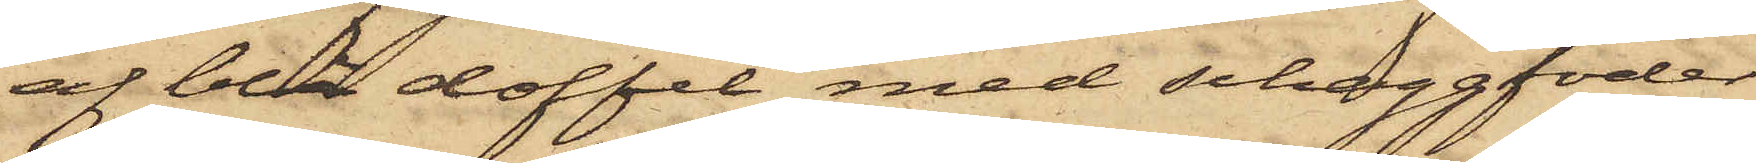af blå doffel med schaggfoder,
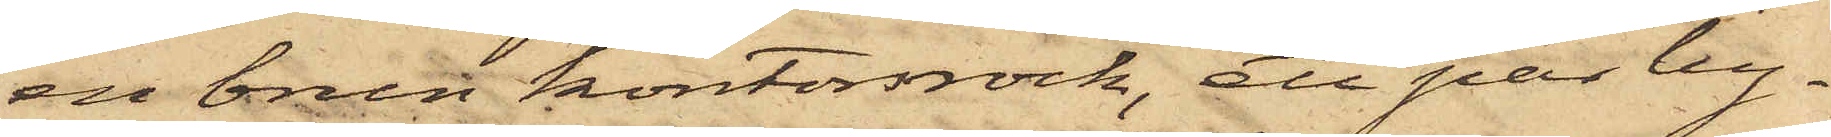en brun kontorsrock, ett par by¬
